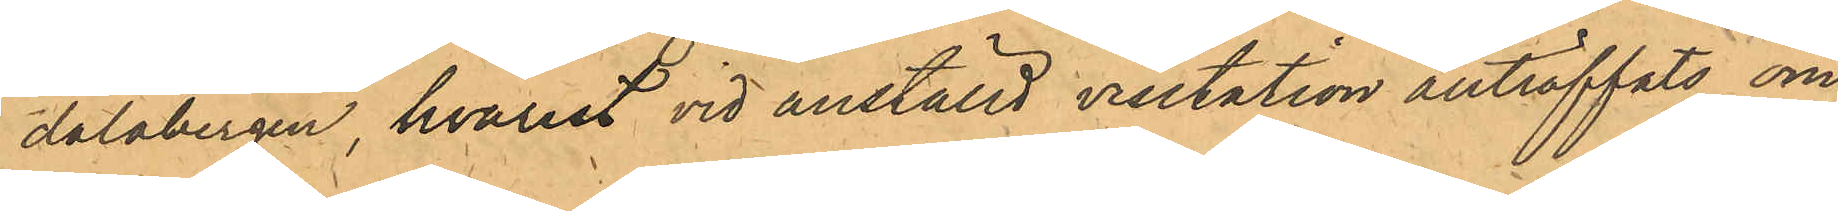dalabergen, hvarest vid anställd visitation anträffats om¬
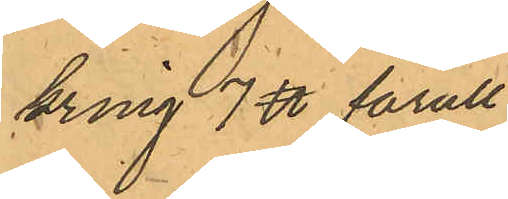kring 7 ℔ fårull.
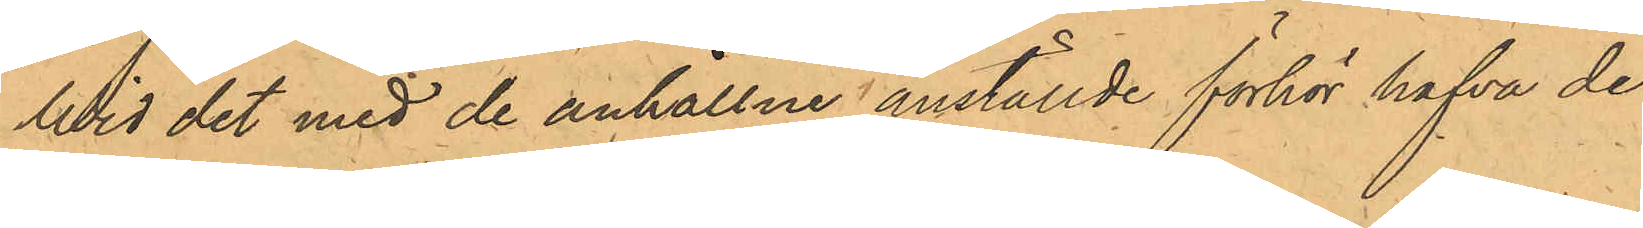Vid det med de anhållne anställde förhör hafva de
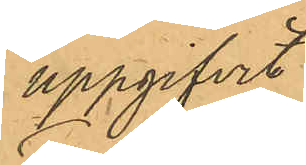uppgifvit:
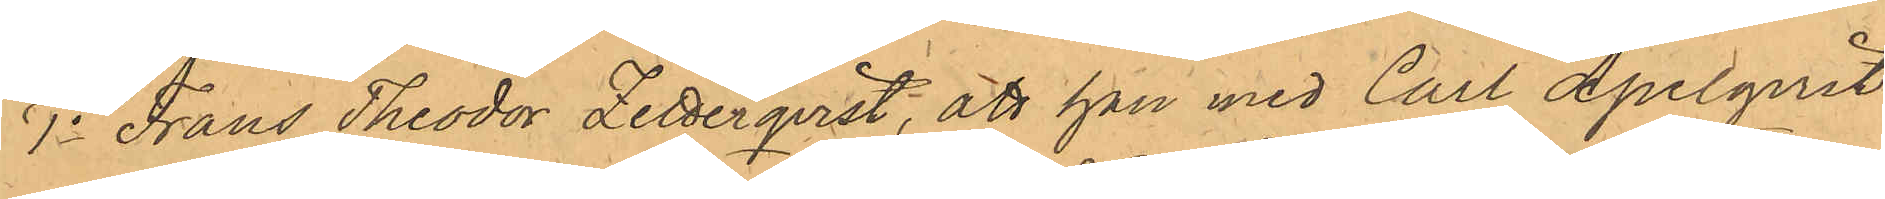1o Frans Theodor Zetterqvist, att han med Carl Apelqvist
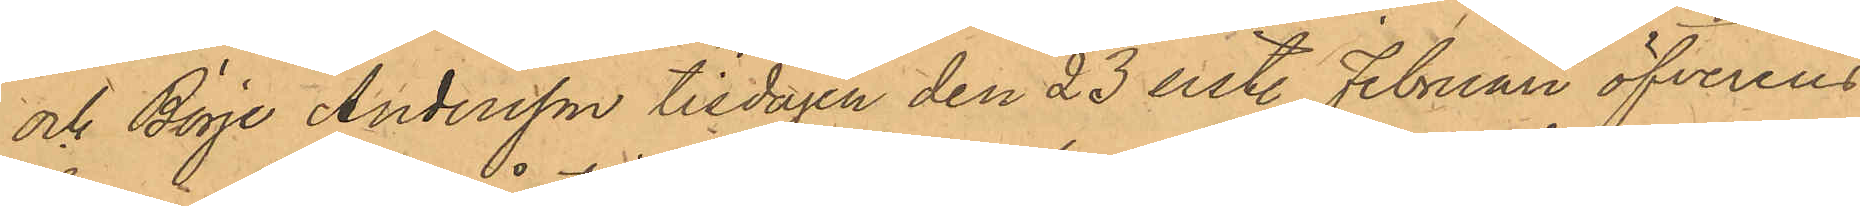och Börje Andersson tisdagen den 23 sist. Februari öfverens¬
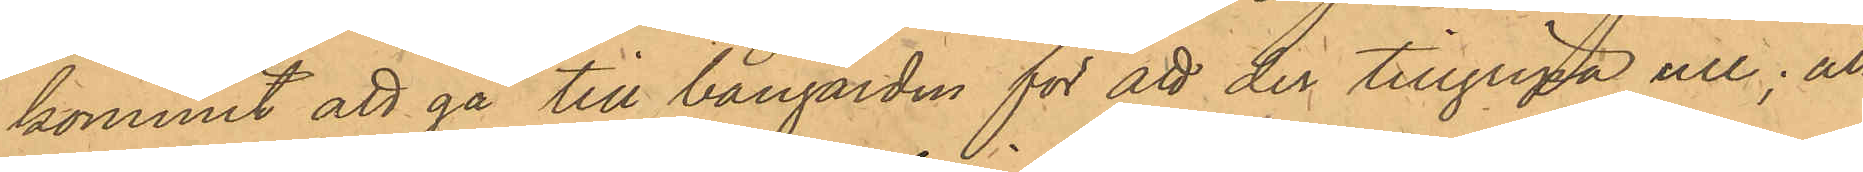kommit att gå till bangården för att der tillgripa ull; att
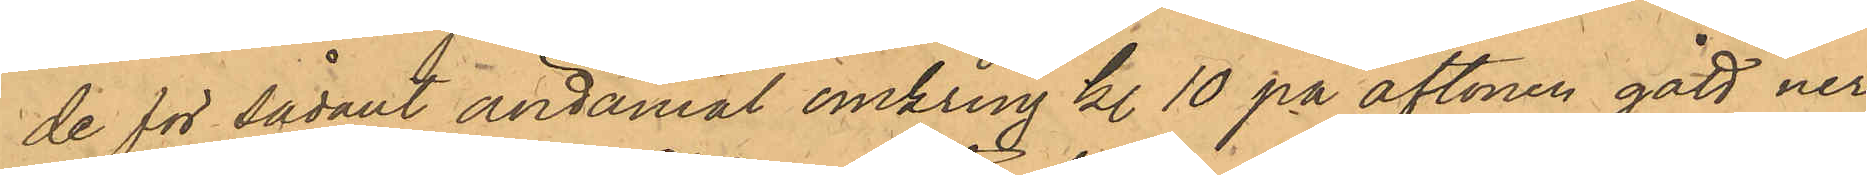de för sådant ändamål omkring kl. 10 på aftonen gått ner
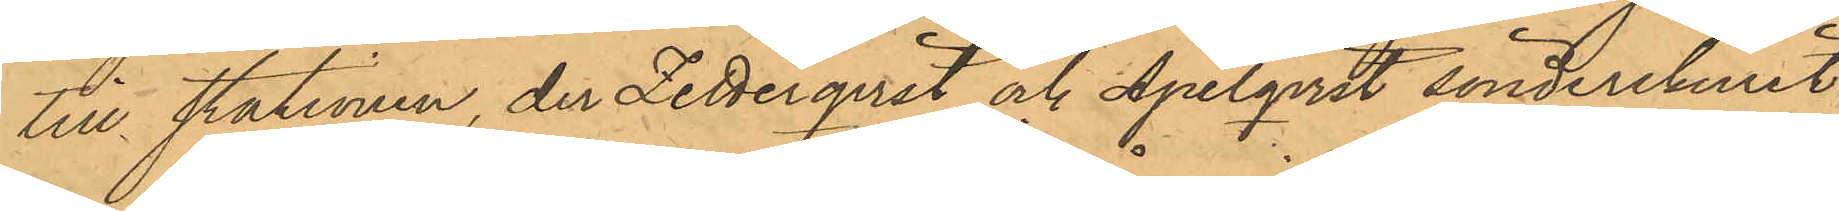till Stationen, der Zetterqvist och Apelqvist sönderskurit
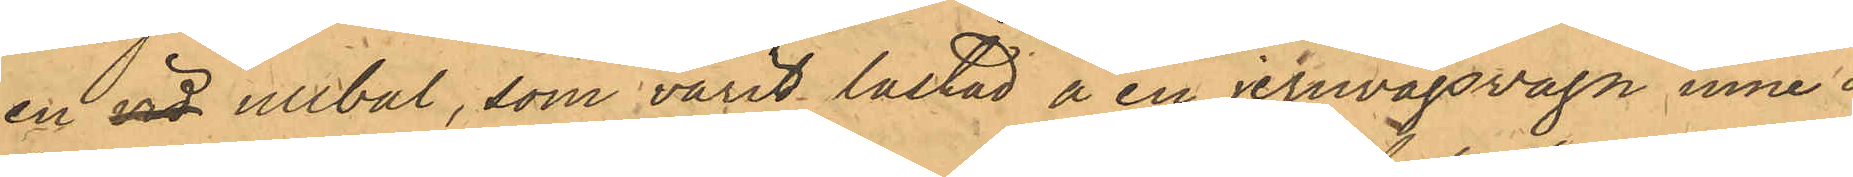en vid ullbal, som varit lastad å en jernvägsvagn inne å
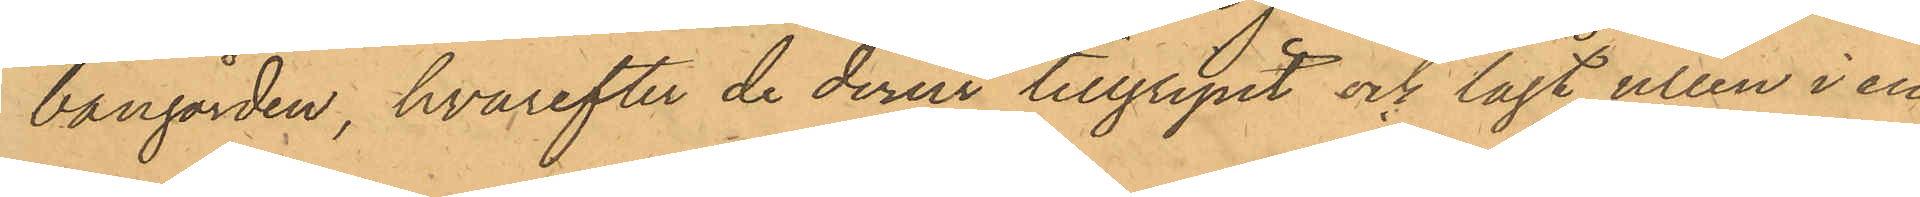bangården, hvarefter de derur tillgripit och lagt ullen i en
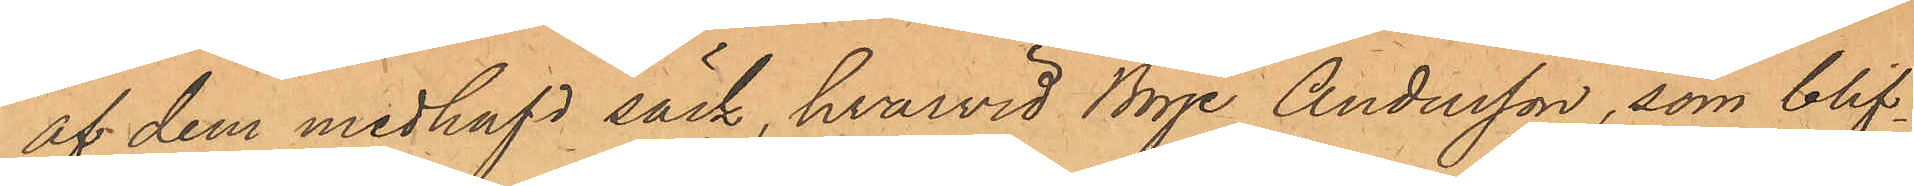af dem medhafd säck, hvarvid Börje Andersson, som blif¬
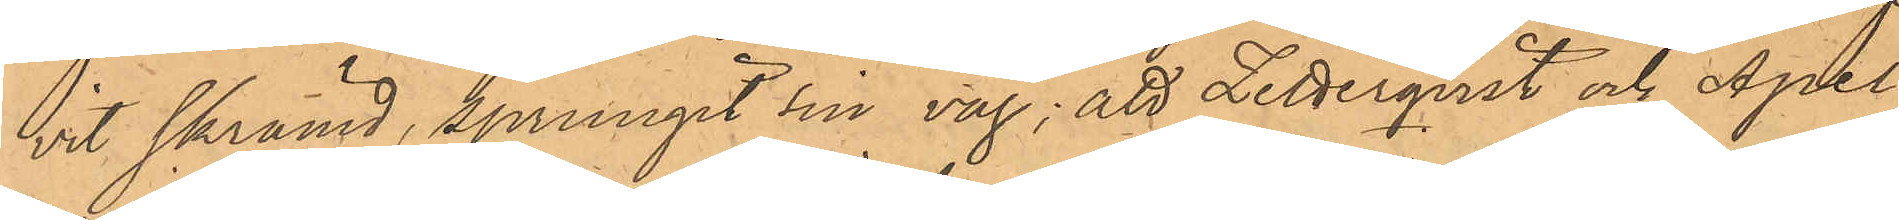vit skrämd, sprungit sin väg; att Zetterqvist och Apel¬ 
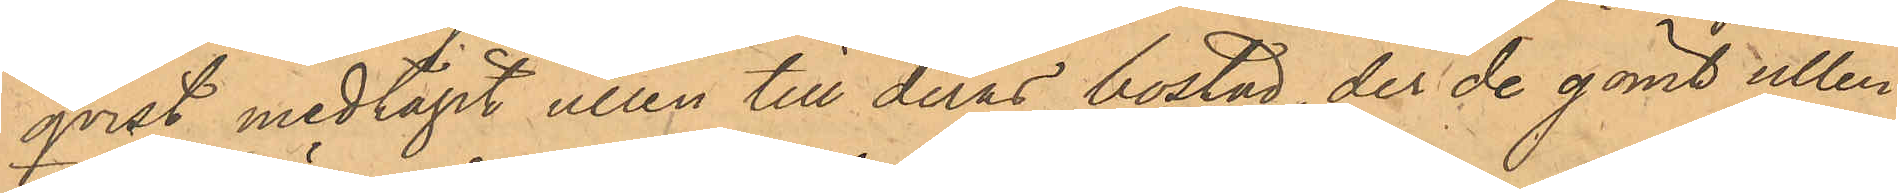qvist medtagit ullen till deras bostad, der de gömt ullen
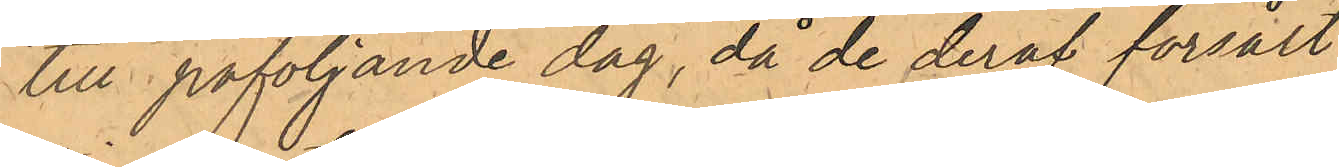till påföljande dag, då de deraf försålt
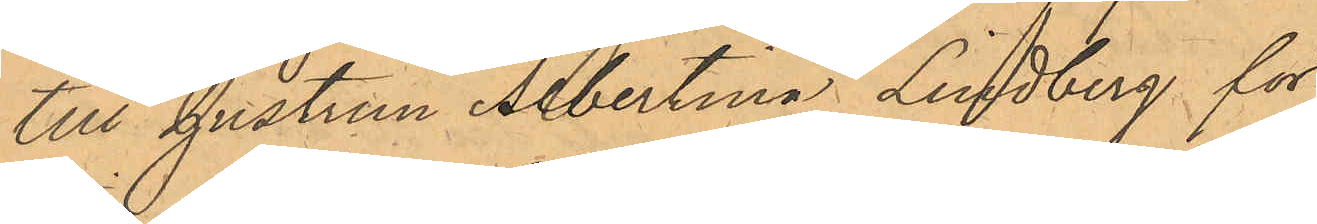till hustrun Albertina Lindberg för 
